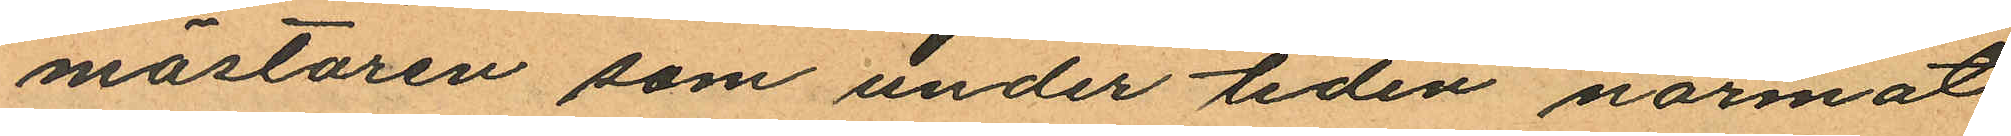mästaren som under tiden närmat
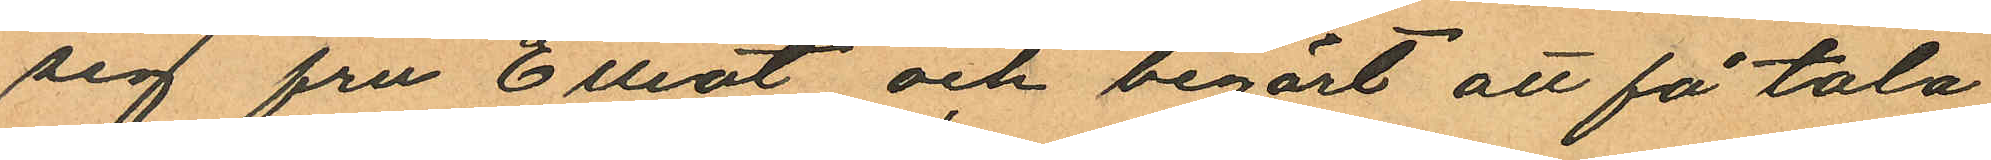sig fru Elliot och begärt att få tala
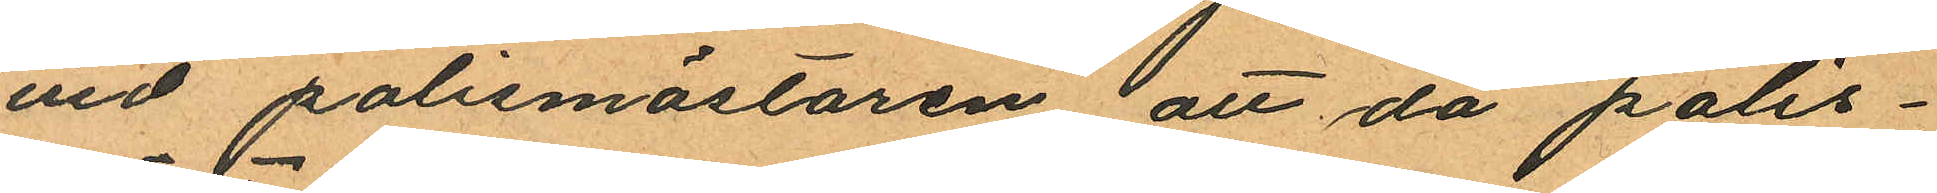vid polismästaren att då polis¬
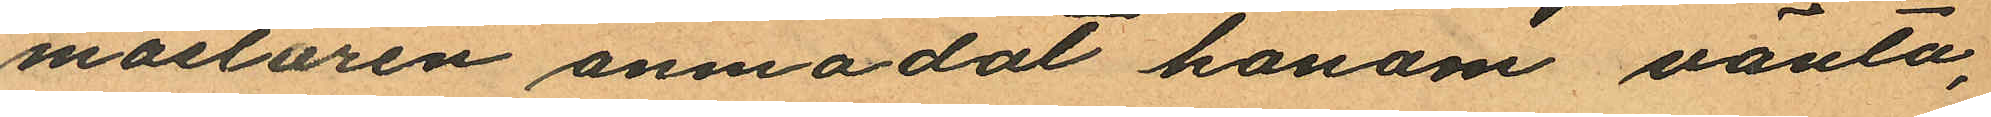mästaren anmodat honom vänta,
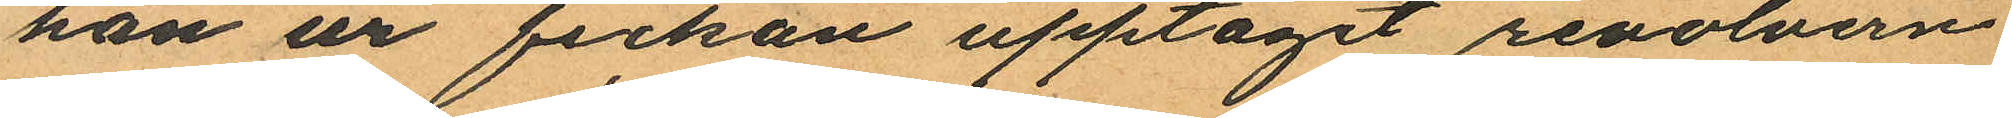han ur fickan upptagit revolvern
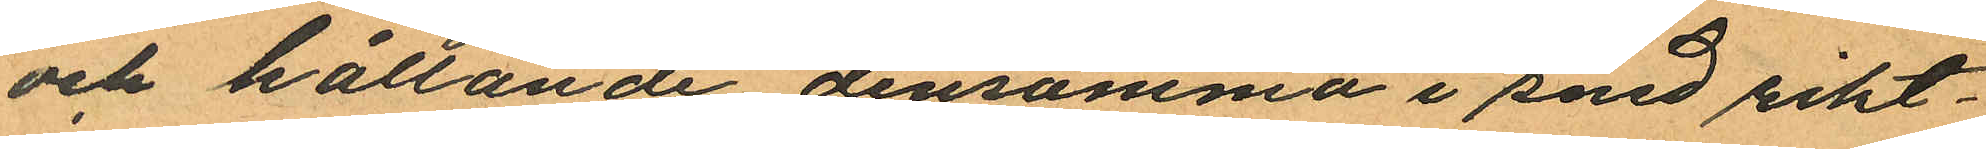och hållande densamma i sned rikt¬
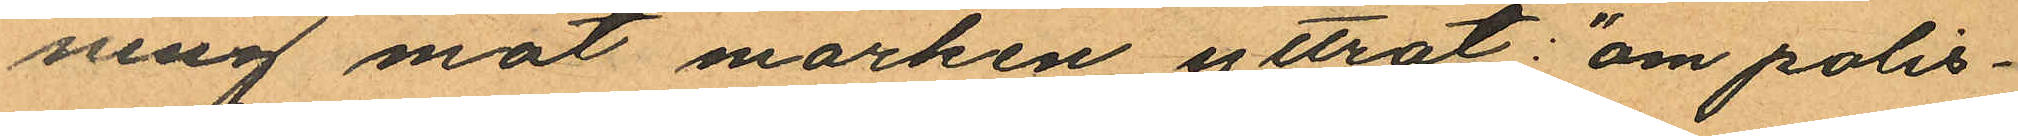ning mot marken yttrat: "om polis¬
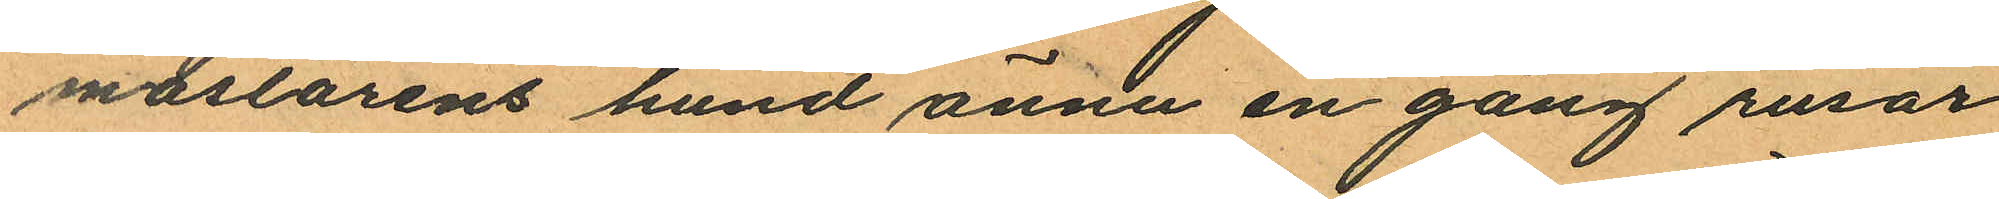mästarens hund ännu en gång rusar
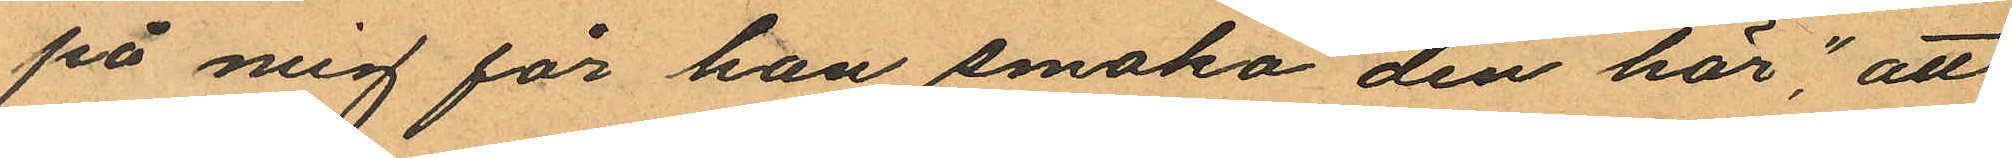på mig för han smaka den här," att
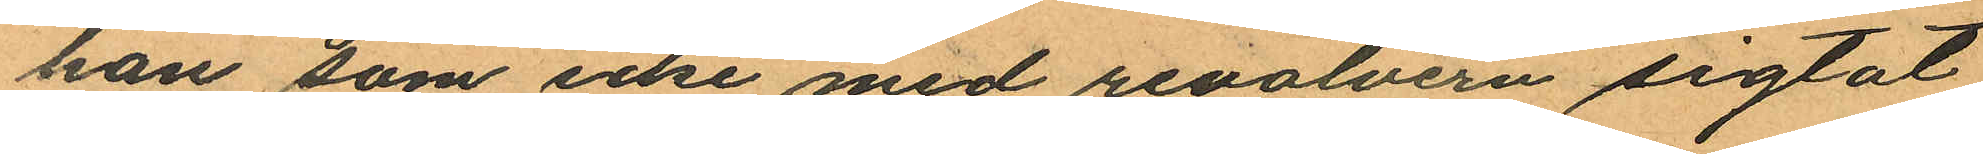han som icke med revolvern sigtat
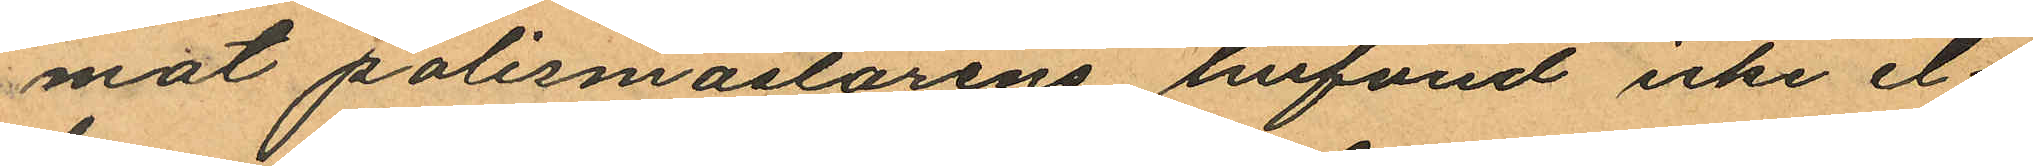mot polismästarens hufvud icke el¬
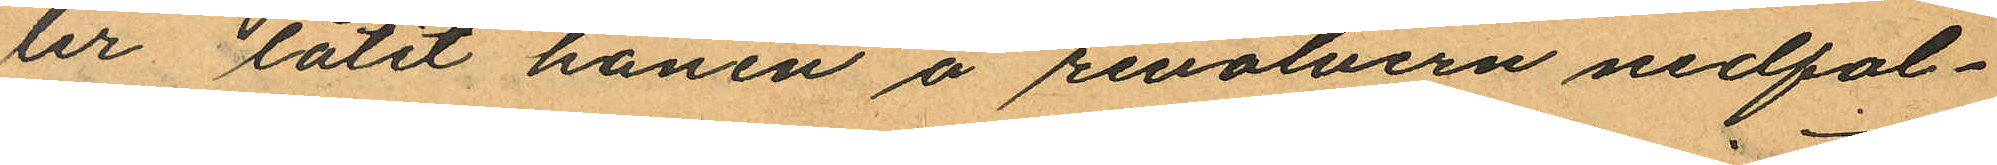ler låtit hanen å revolvern nedfal¬
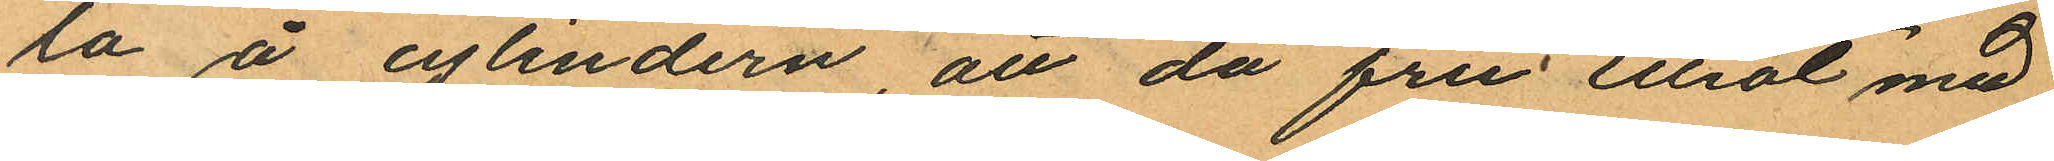la å cylindern, att då fru Elliot med
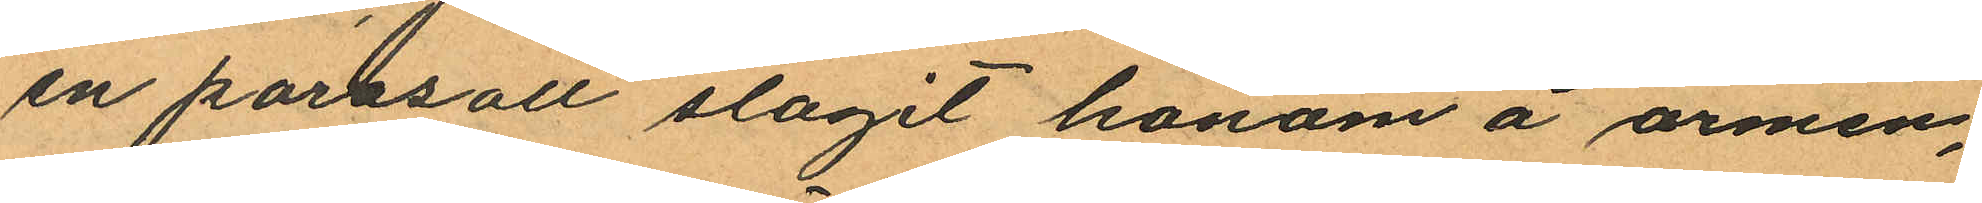en parasoll slagit honom å armen,
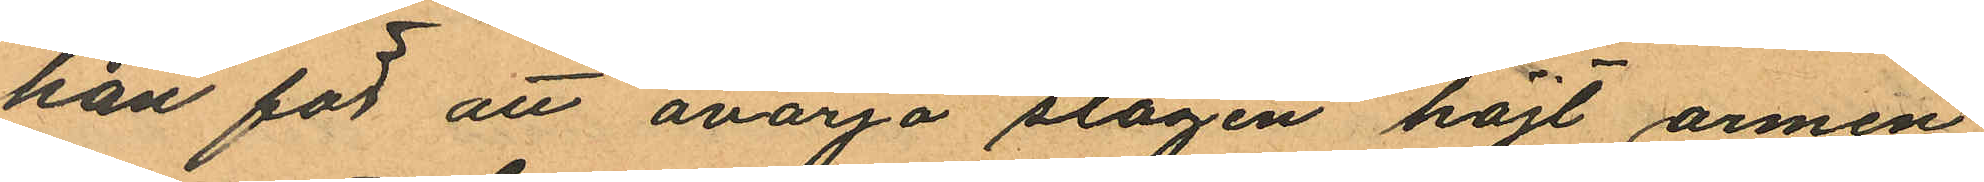han för att avärja slagen höjt armen
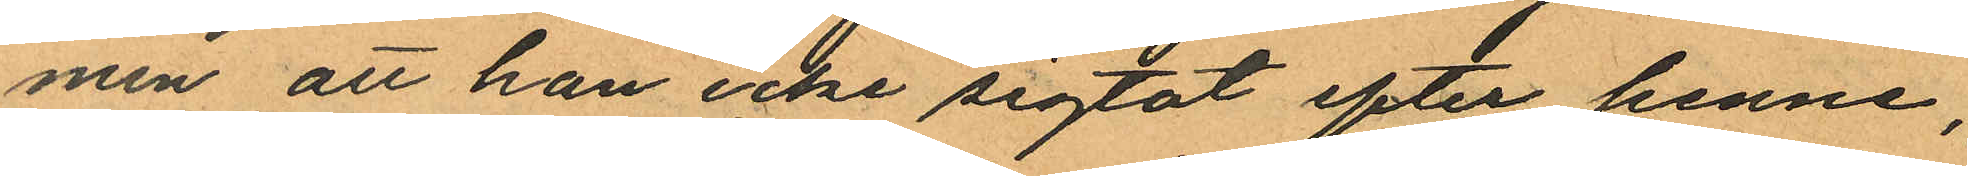men att han icke sigtat efter henne,
